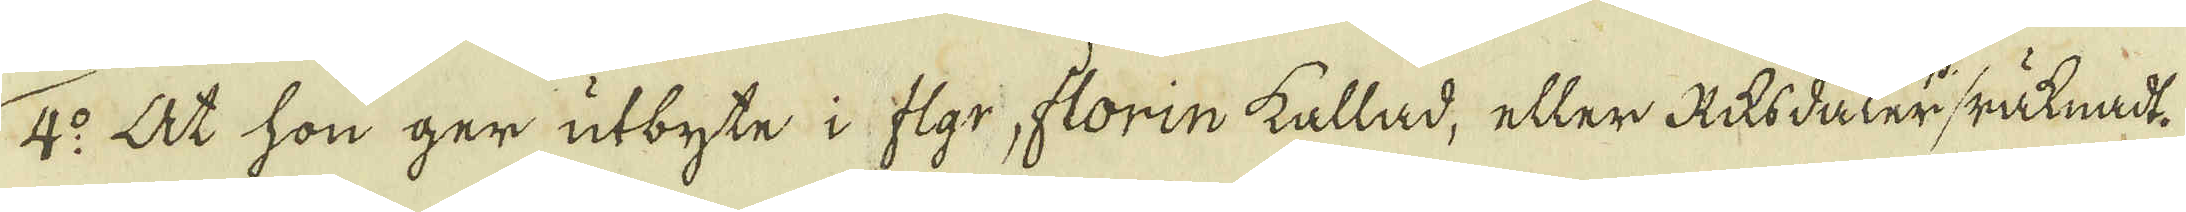4:o At hon ger utbyte i flgr, florin kallad, eller Riksdaler / räknadt.
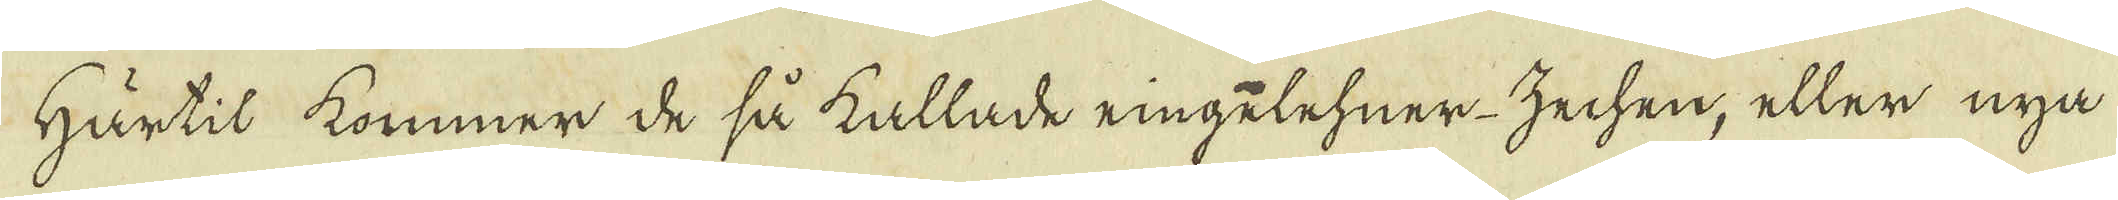Härtil kommer de så kallade ringelehner-zechen, eller nya
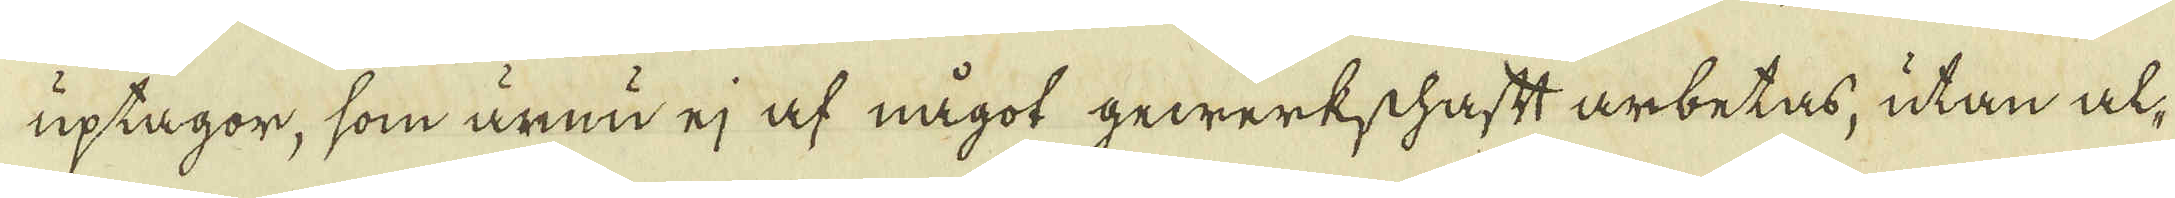uptagor, som ännu ej af något gewärkschaftt arbetas, utan al-
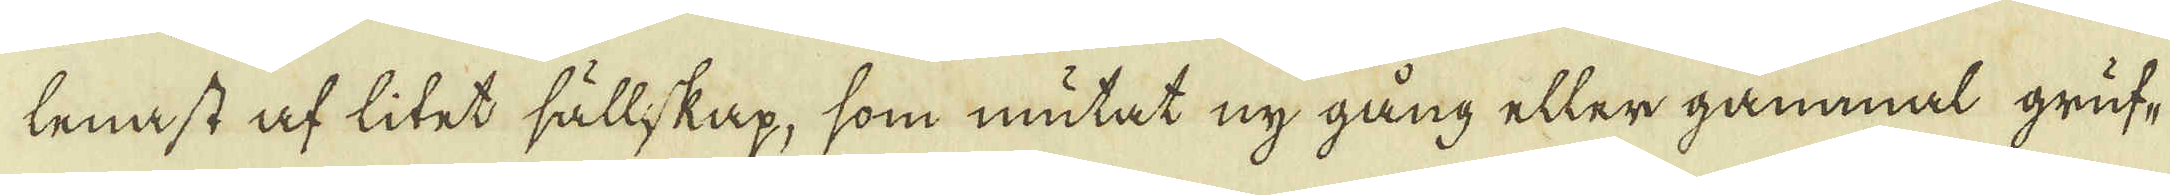lenast af litet sällskap, som mutat ny gång eller gammal gruf-
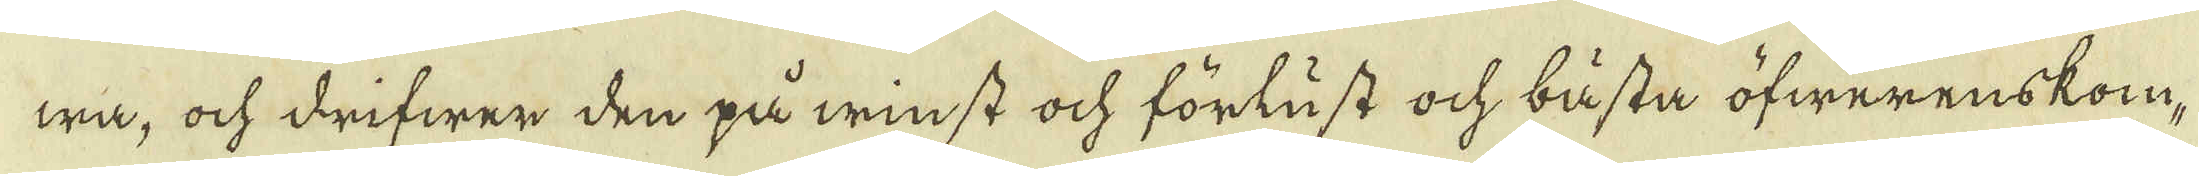wa, och drifwer den på winst ock förlust och bästa öfwerenskom-
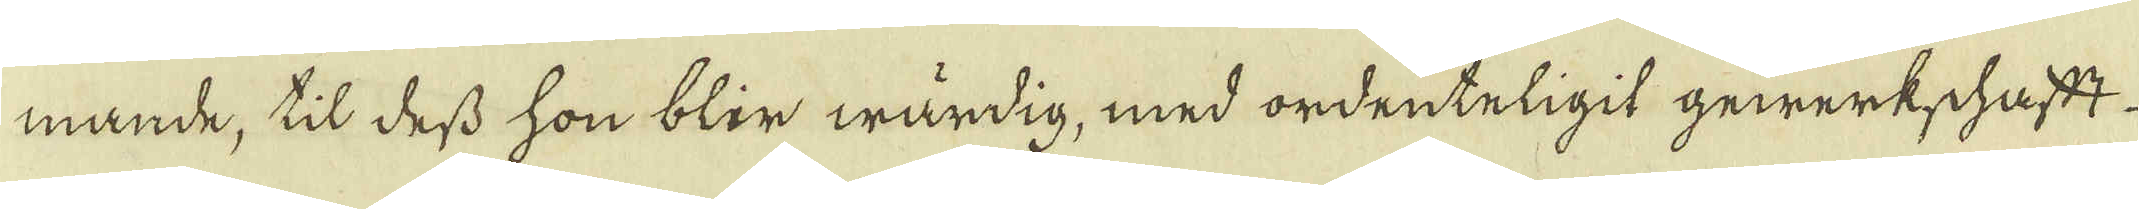mande, til dess hon blir wärdig, med ordenteligit gewärkschaftt
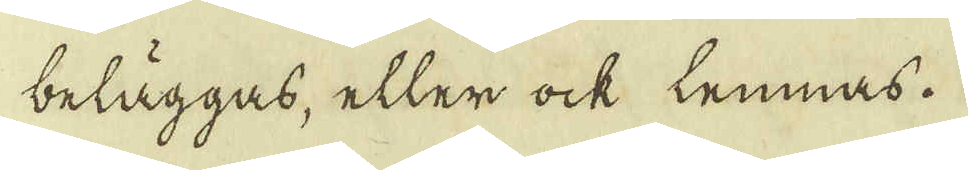beläggas, eller ock lemnas.
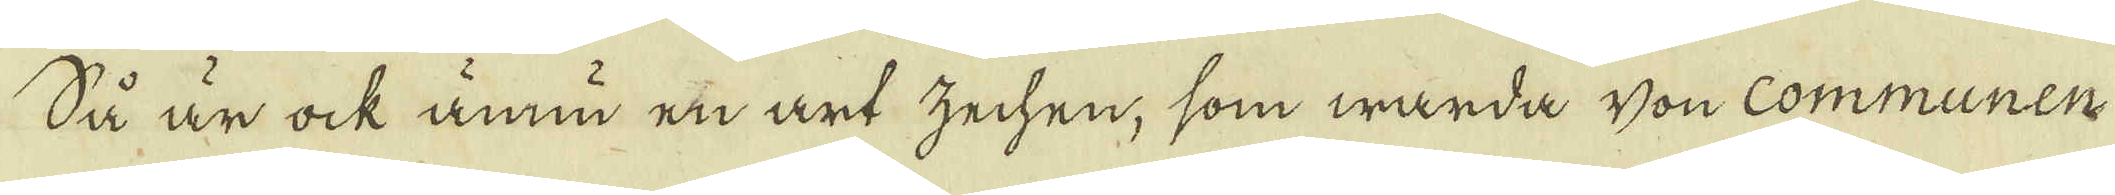Så är ock ännu en art zechen, som warda von Communen
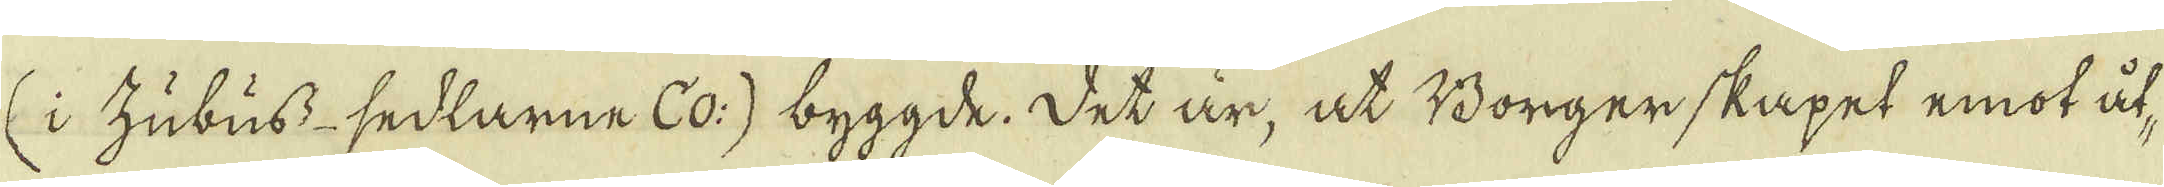(i zubuss-sedlarne co:) byggde. Det är, at Borgerskapet emot åt-
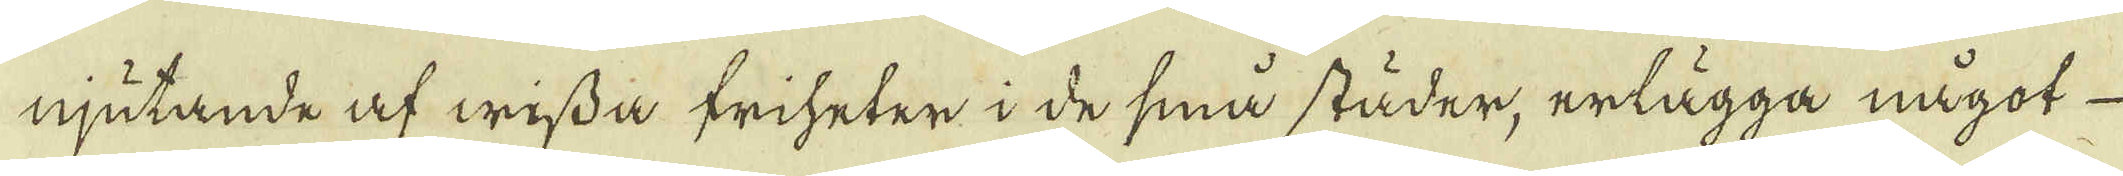njutande af wissa friheter i de små städer, erlägga något
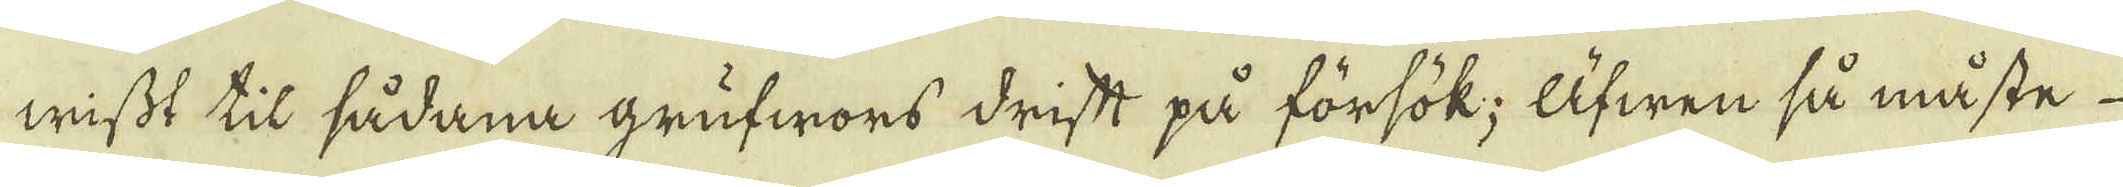wisst til sådana grufwors driftt på försök; Äfwen så måste
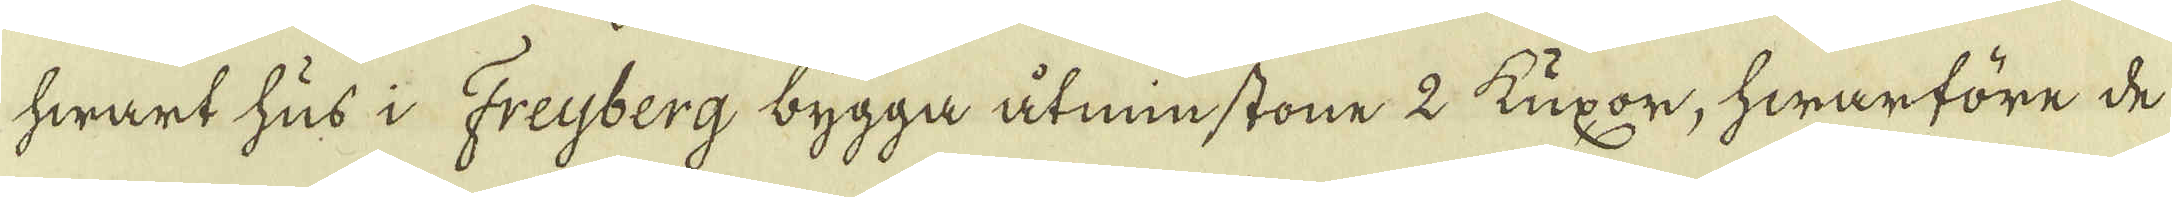hwart hus i Freyberg, bygga åtminstone 2 Kuxor, hwarföre de
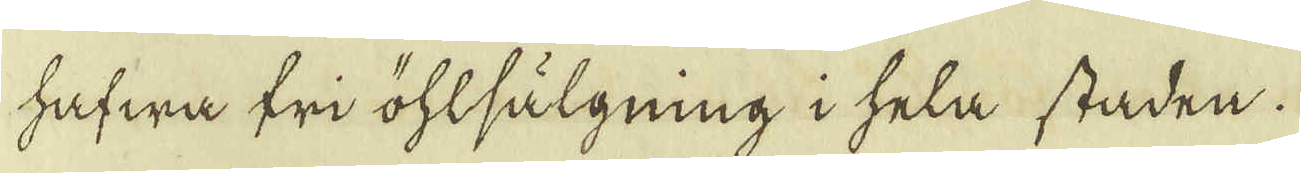hafwa fri öhlsälgning i hela staden.
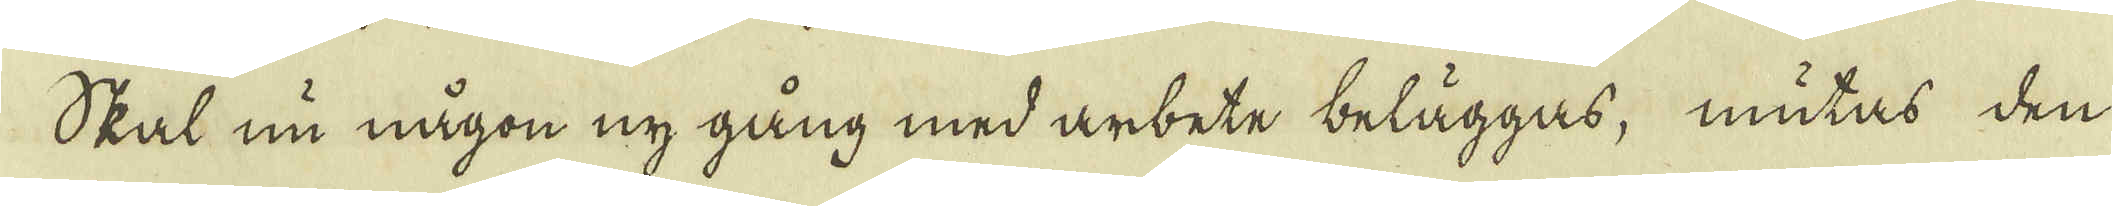Skal nu någon ny gång med arbete beläggas, mutas den
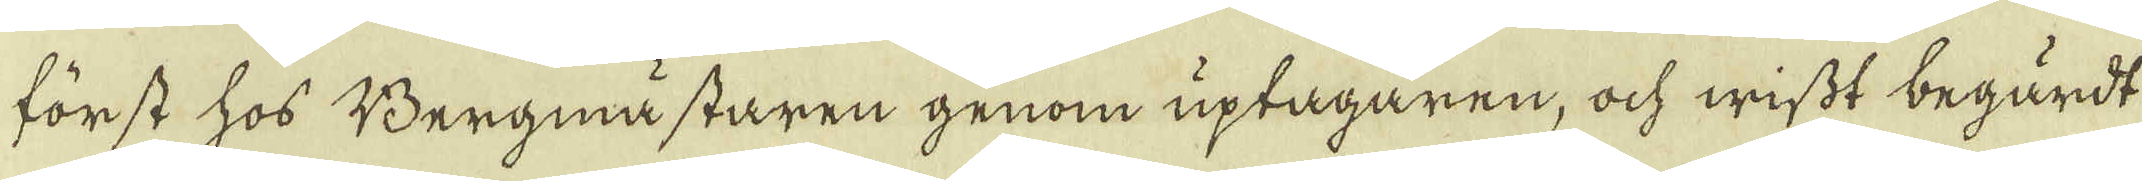först hos Bergmästaren genom uptagaren, och wisst begärdt
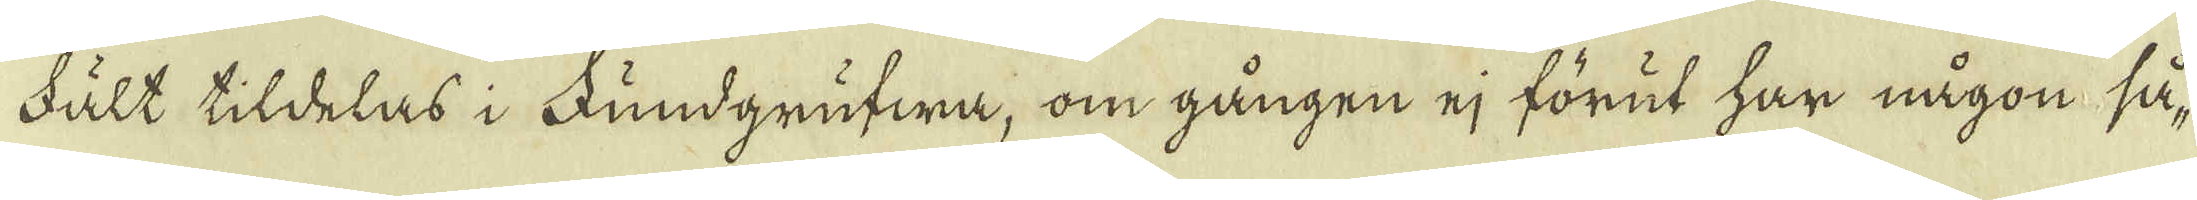Fält tildelas i Fundgrufwa, om gången ej förut har någon så-
